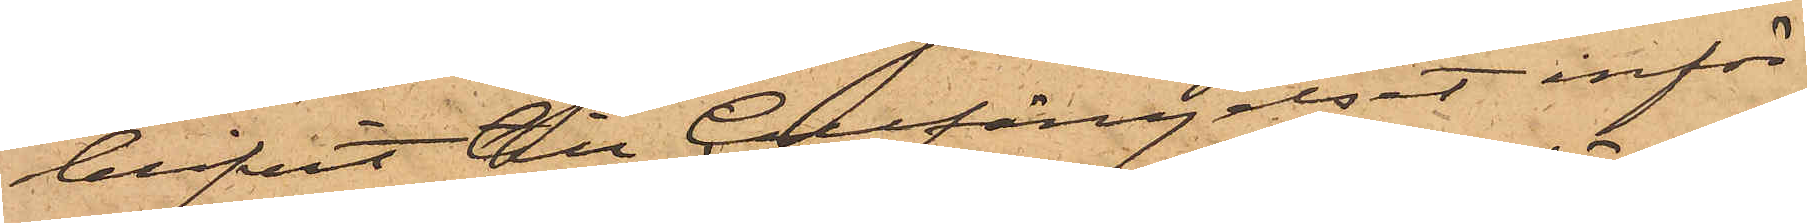blifvit till Cellfängelset inför¬
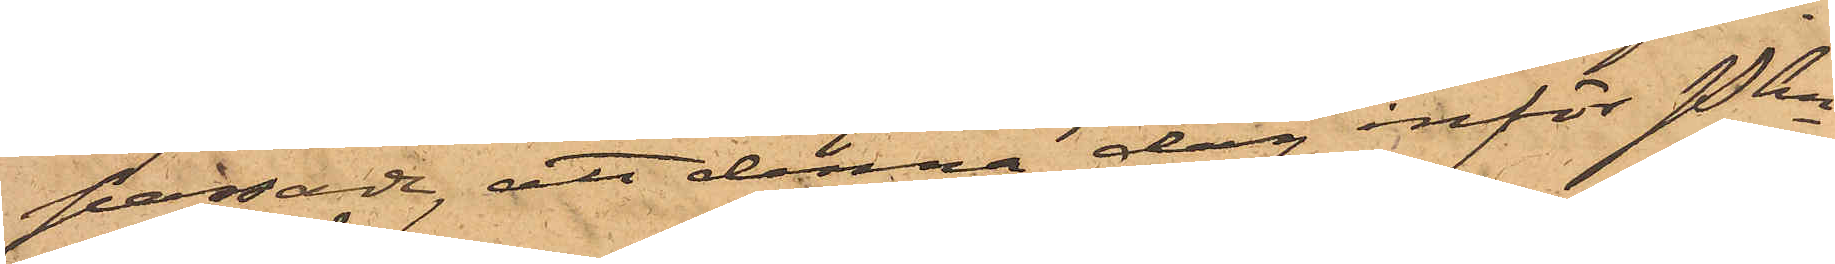passade, att denna dag inför Pkn
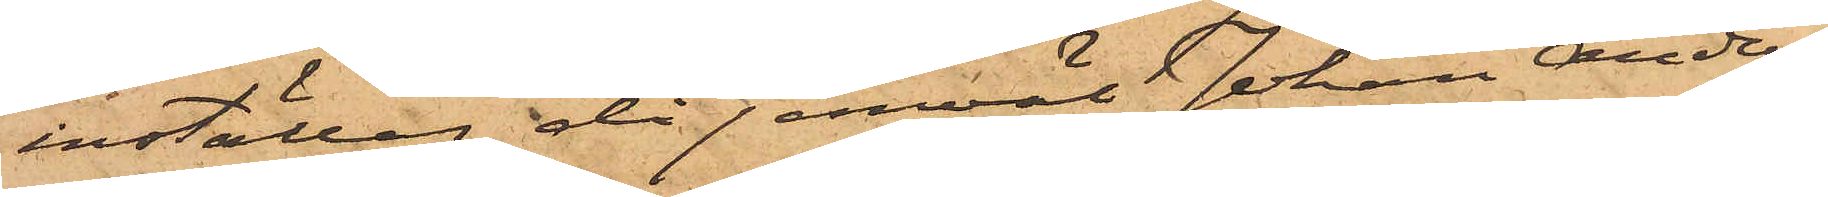inställas, då jemväl Johan Anders¬
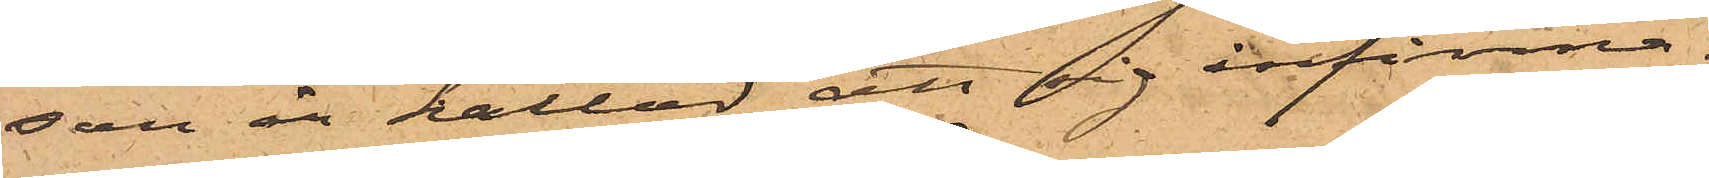son är kallad att sig infinna.
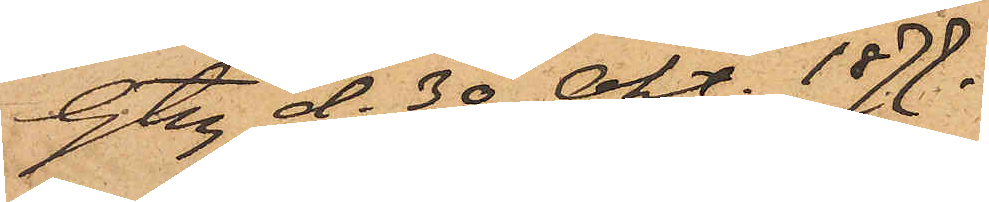Gbg d. 30 Okt. 1877.
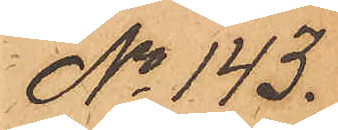No 143.
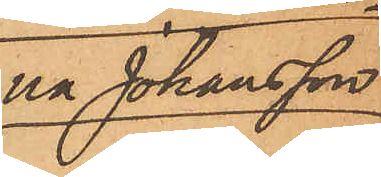na Johansson
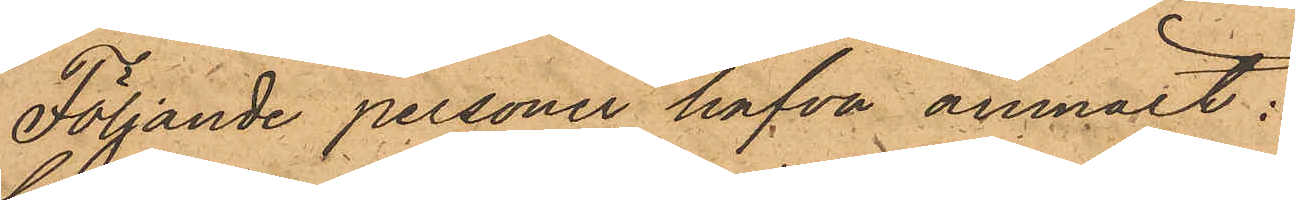Följande personer hafva anmält:
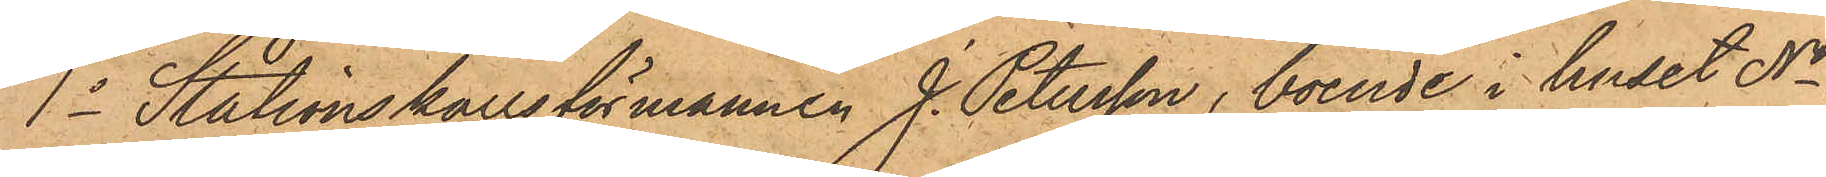1o Stationskarlsförmannen J. Petersson, boende i huset No
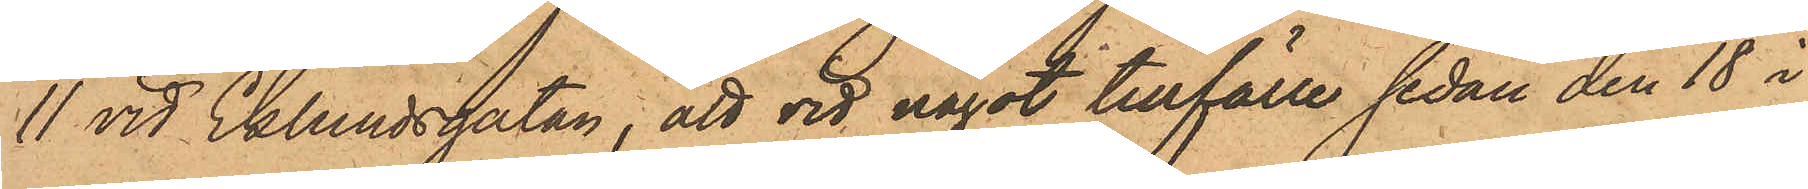11 vid Eklundsgatan, att vid något tillfälle sedan den 18 i
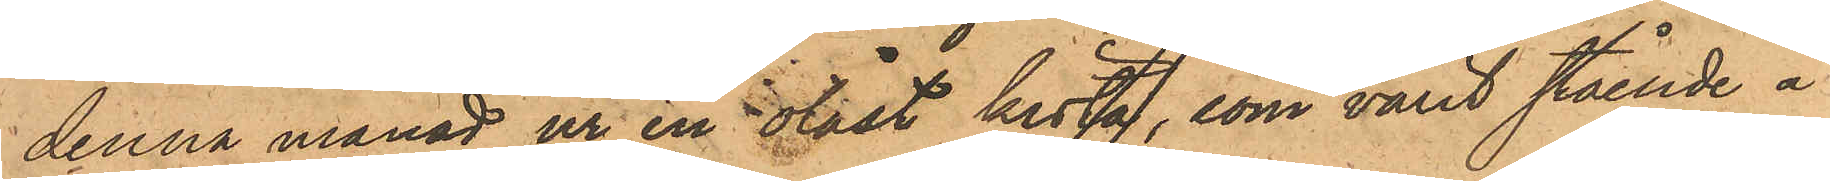denna månad ur en olåst kista, som varit stående å
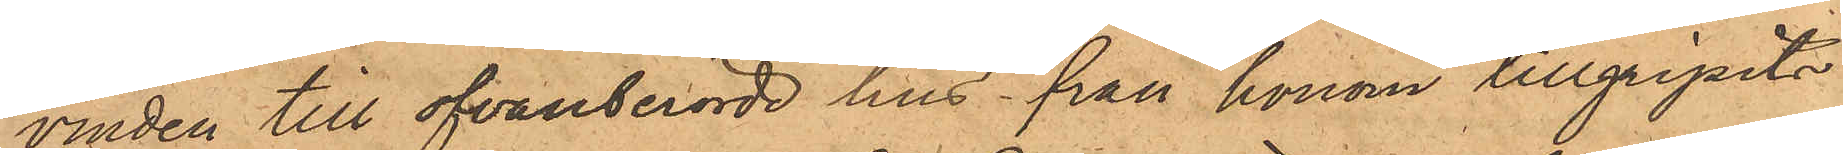vinden till ofvanberörde hus från honom tillgripits
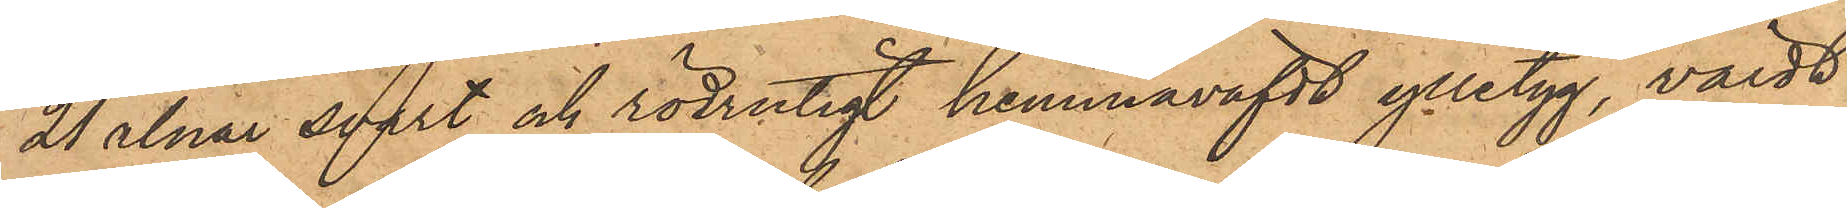21 alnar svart och rödrutigt hemmaväfdt ylletyg, värdt
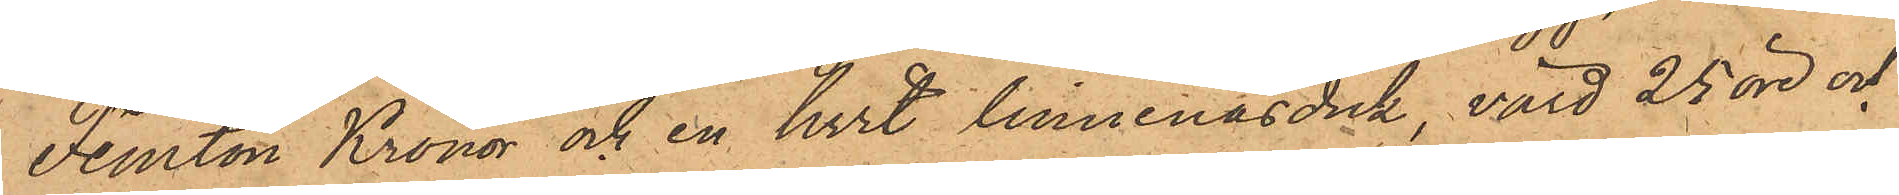Femton Kronor och en hvit linnenäsduk, värd 25 öre och
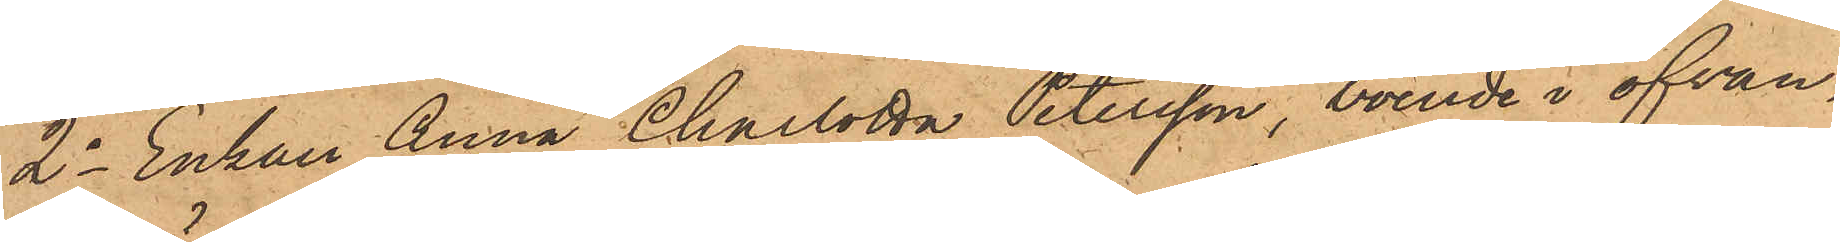2o Enkan Anna Charlotta Petersson, boende i ofvan¬
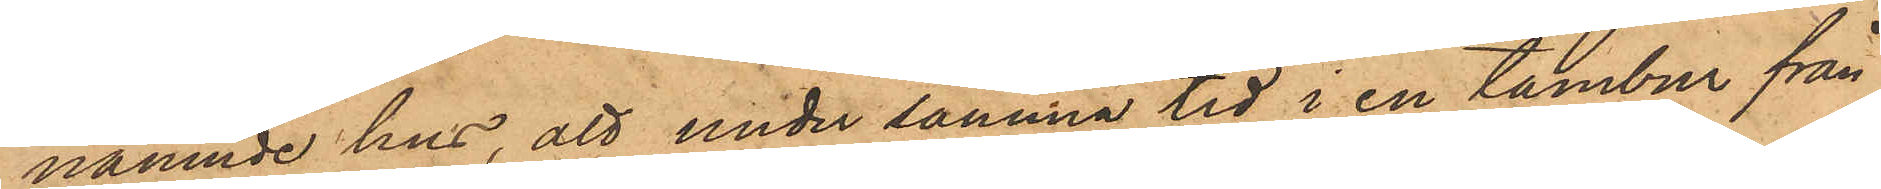nämnde hus, att under samma tid i en tambur från
